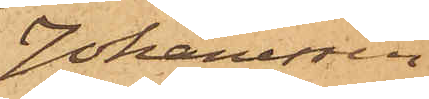Johanessen
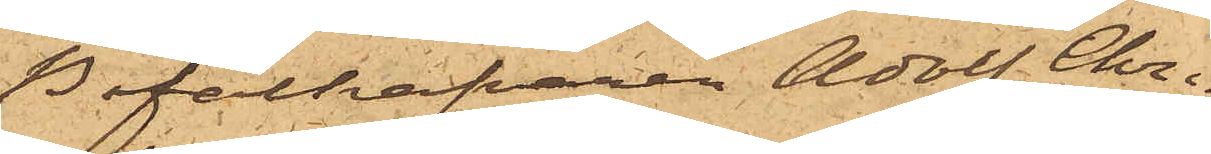Befälhafvaren Adolf Chri¬
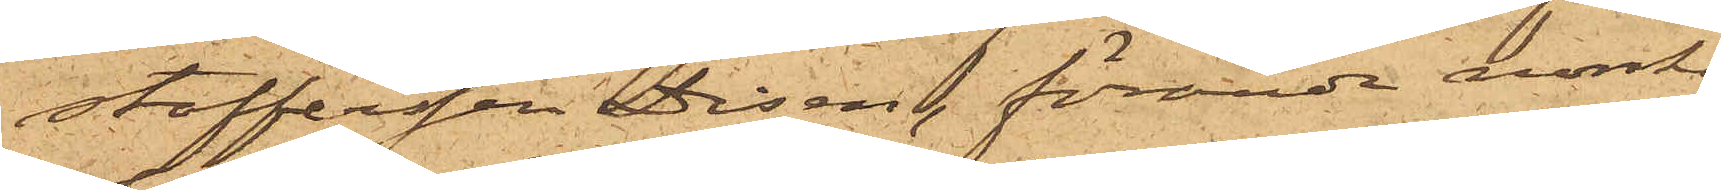stoffersen Diesen, förande norske
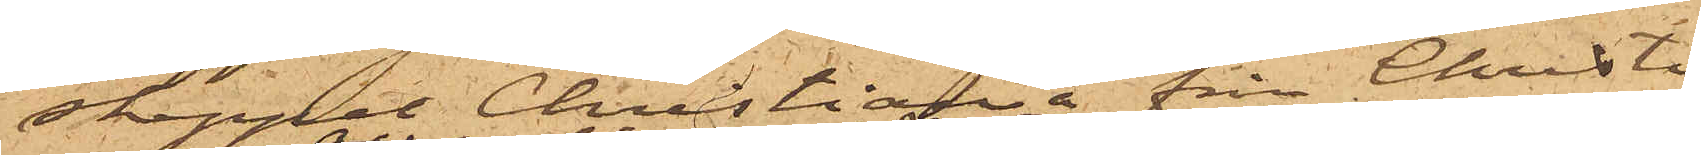skeppet Christiania från Christi¬
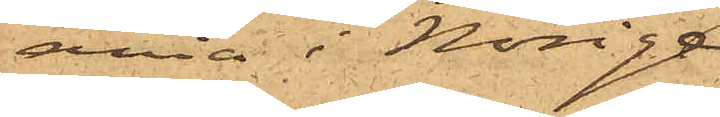ania i Norige,
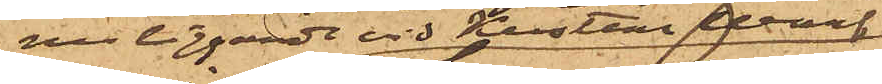nu liggarde vid Kustens Warf,
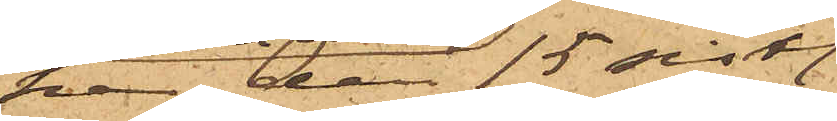har den 15 sist.
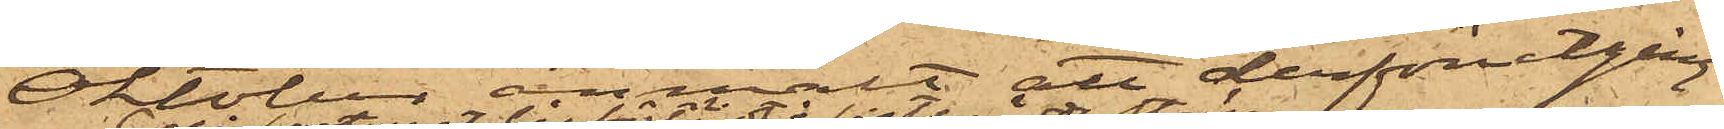Oktober anmält att derförutgång¬
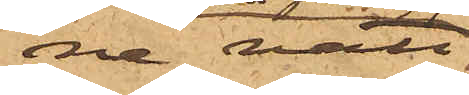ne natt,
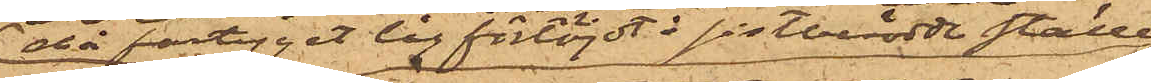då fartyget låg förtöjdt å sistberörde ställe,
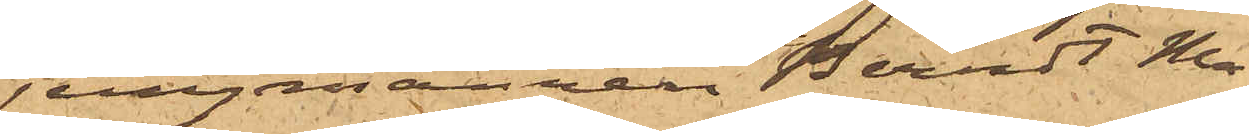jungmannen Berndt Ma¬
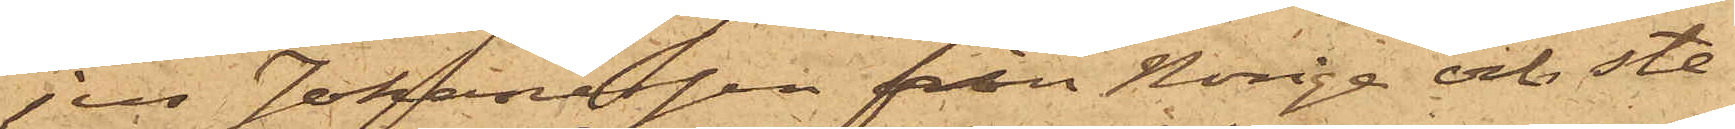jus Johannessen från Norige och ste¬
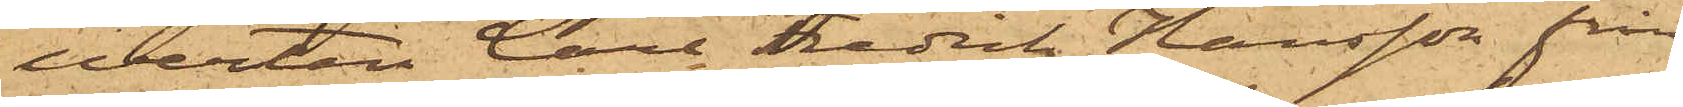werten Carl Fredrik Hansson från
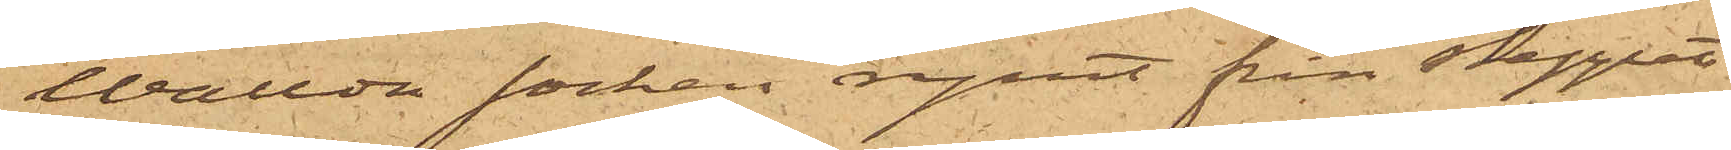Wallda socken rymt från skeppet
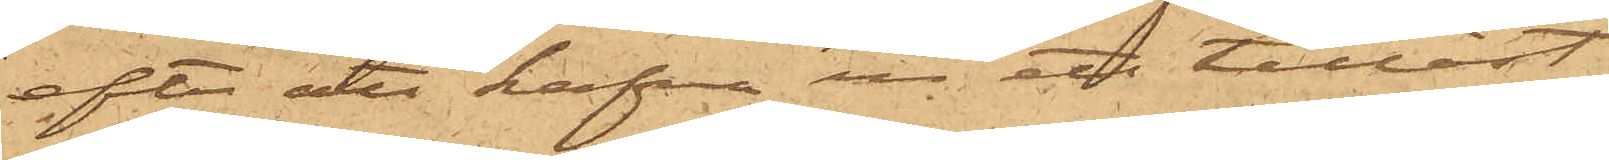efter att hafva ur ett tillåst
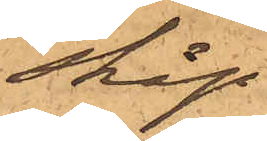skåp
